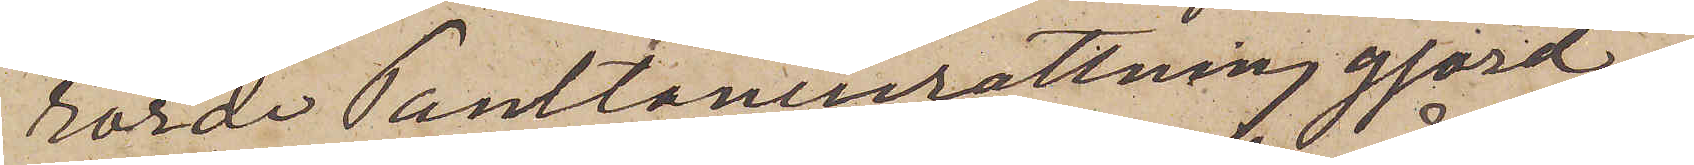rörde Pantlåneinrättning gjord
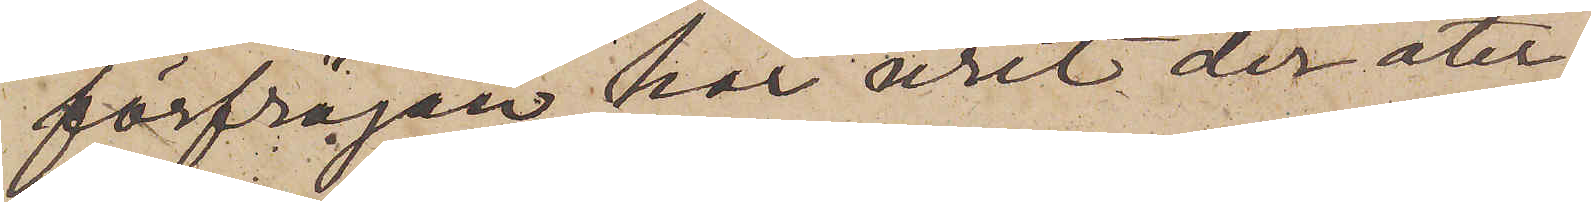förfrågan har uret der åter¬
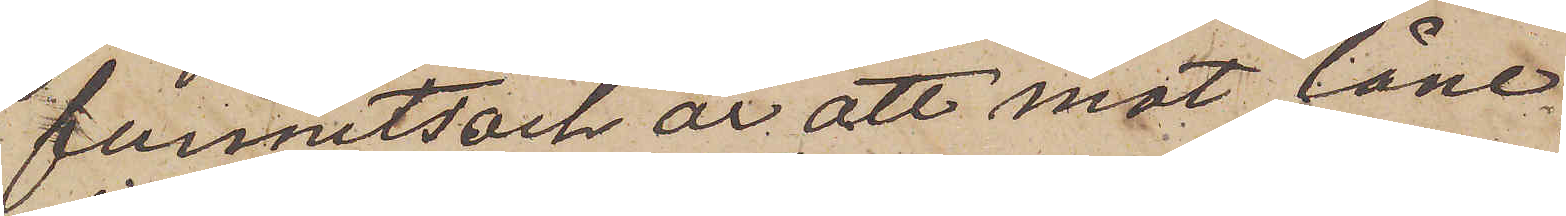funnits och är att mot låne¬
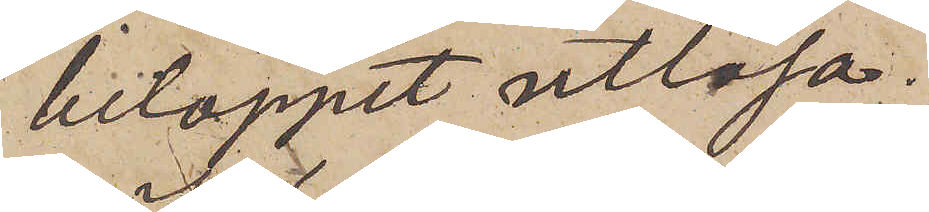beloppet utlösa.
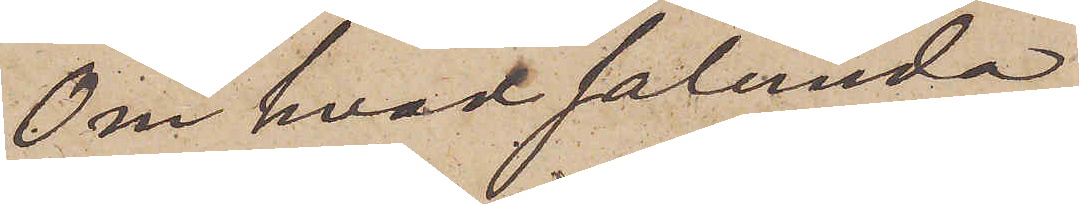Om hvad sålunda
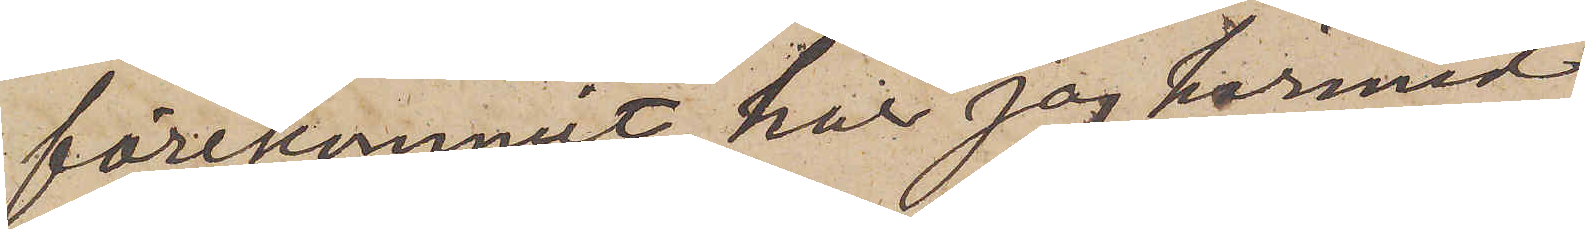förekommit har jag härmed
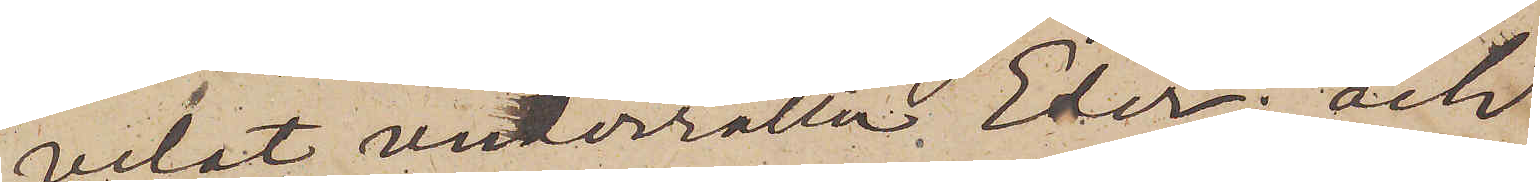velat underrätta Eder; och
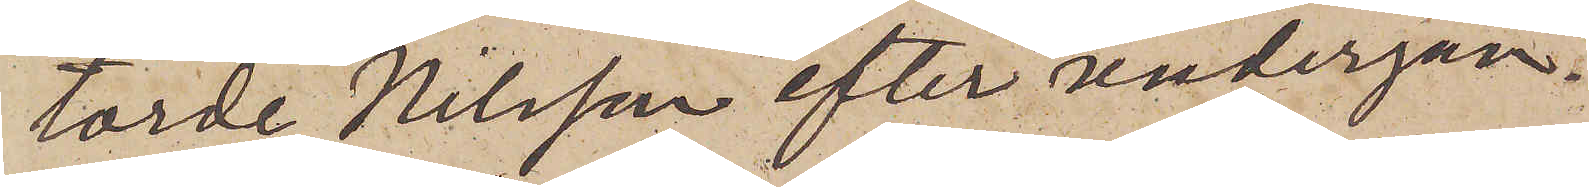torde Nilsson efter undergån¬
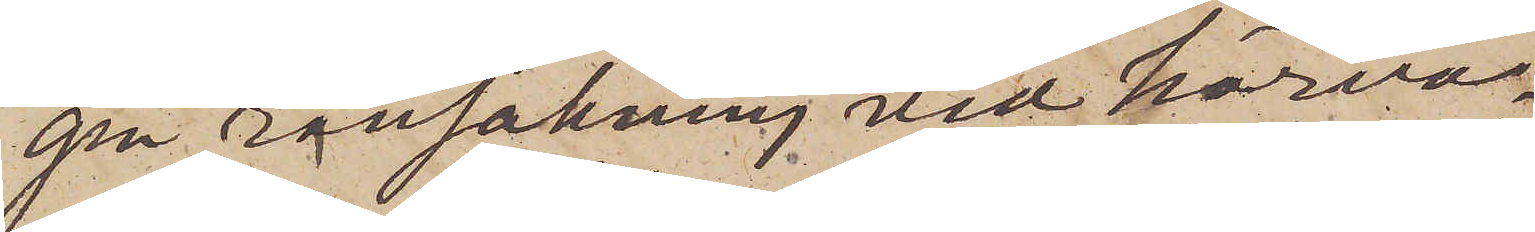gen ransakning vid härvar¬
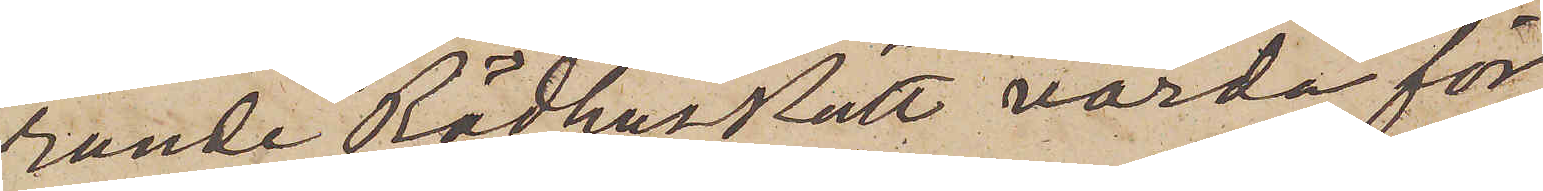rande Rådhusrätt varda för¬
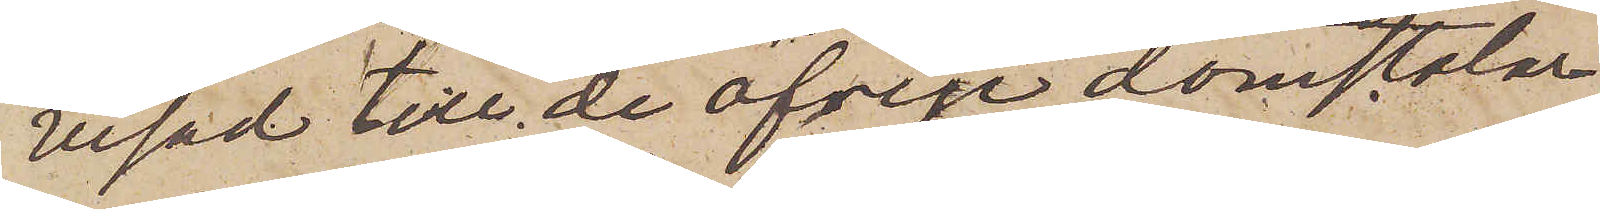visad till de öfrige domstolar
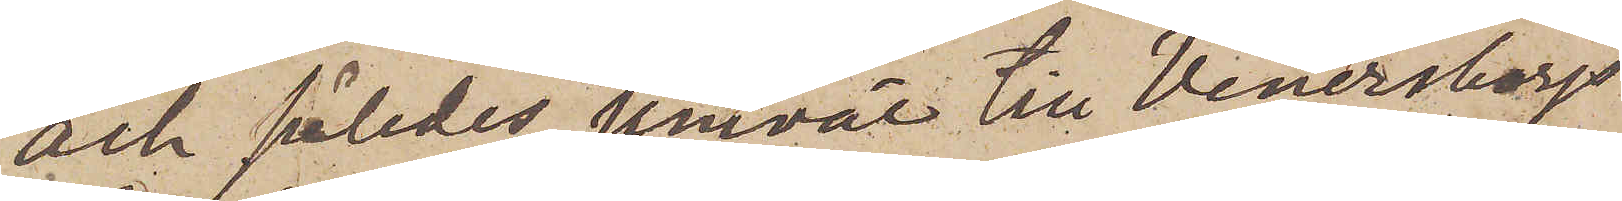och således jemväl till Wenersborgs
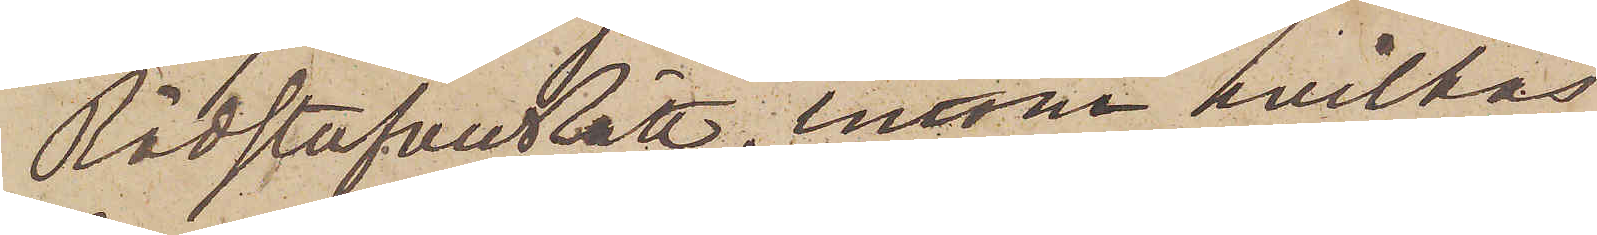RådstufvuRätt, inom hvilkas
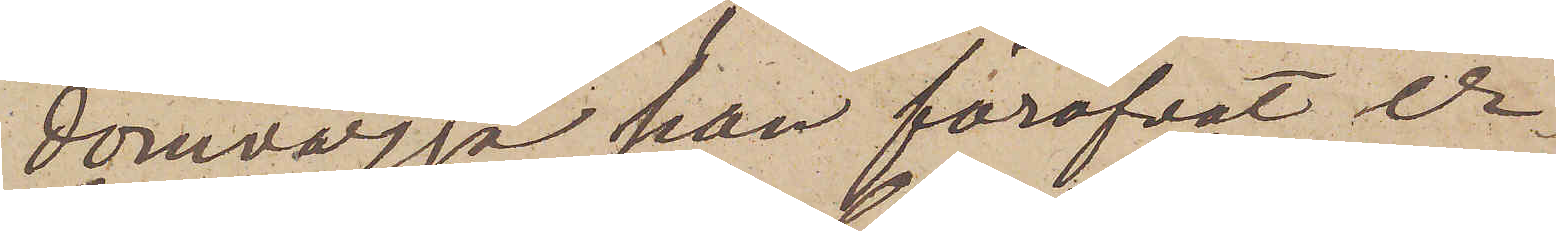domvärjo han föröfvat er¬
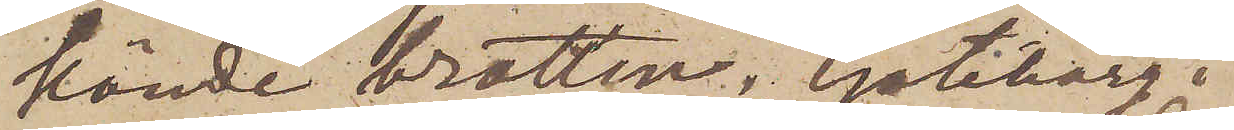kände brotten. Göteborg
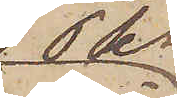Pks
